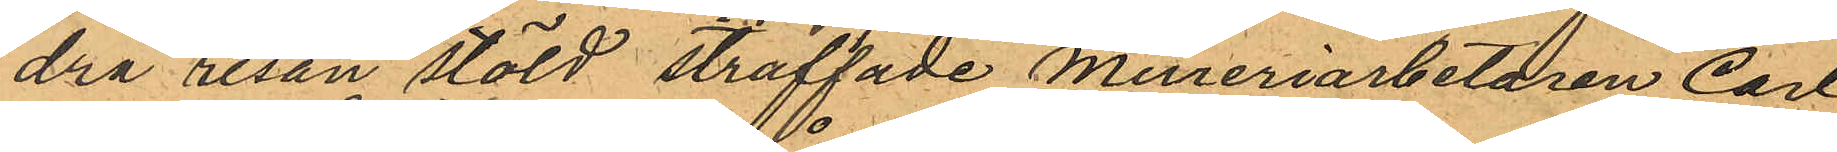dra resan stöld straffade Mureriarbetaren Carl
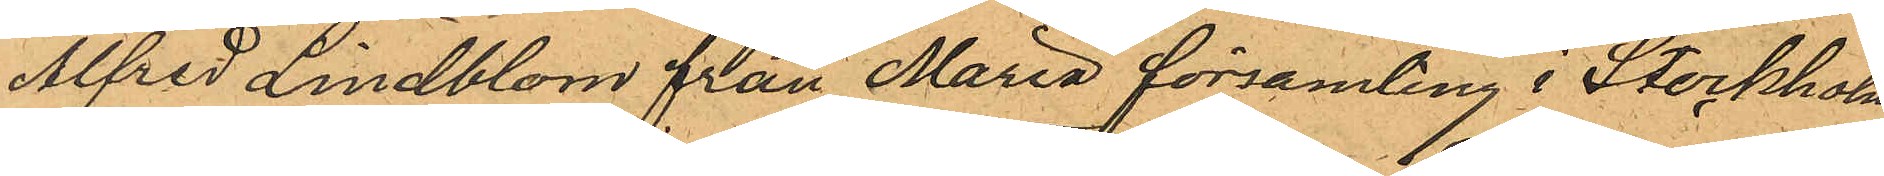Alfred Lindblom från Maria församling i Storkholm.
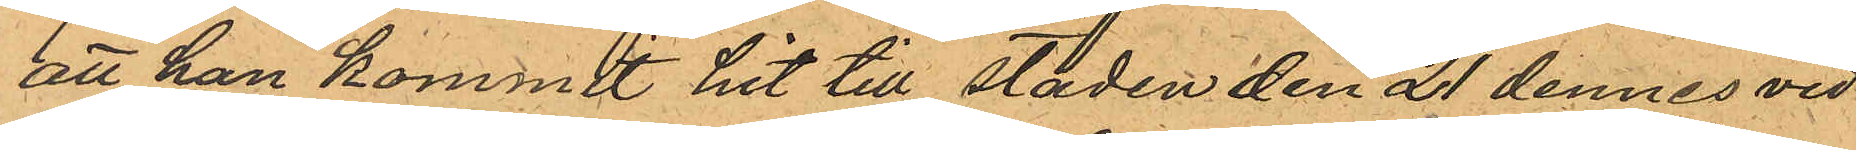att han kommit hit till staden den 21 dennes vid
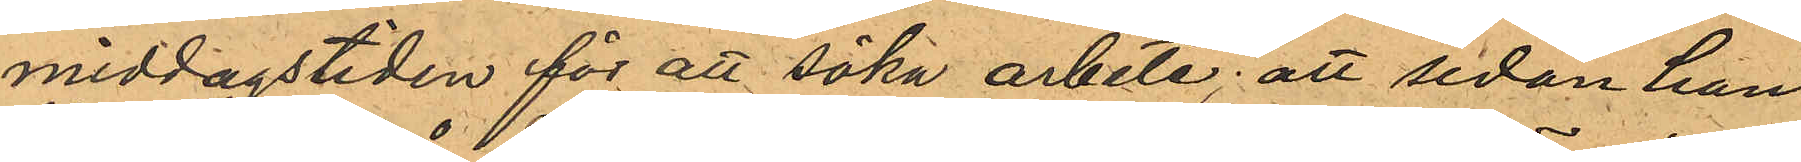middagstiden för att söka arbete; att sedan han
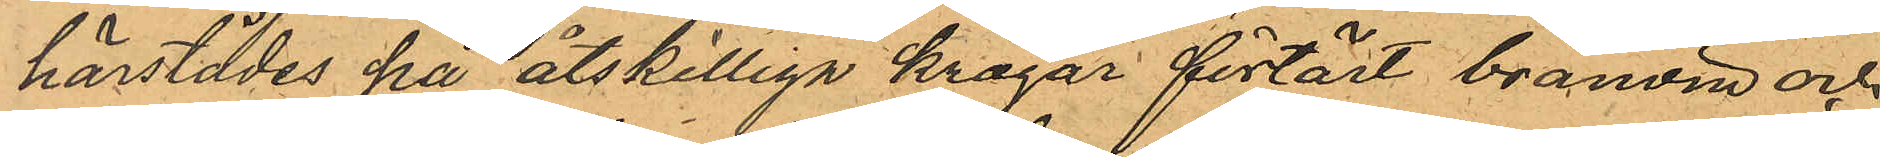härstäldes pa åtskilliga krogar förtärt brännvin och
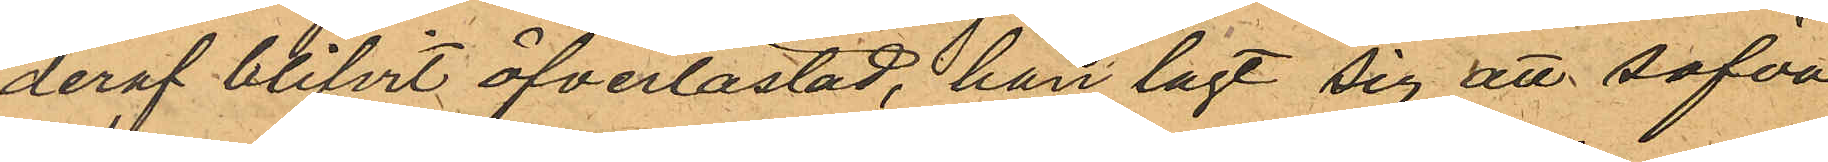deraf blifvit öfverlastad, han lagt sig att sofva
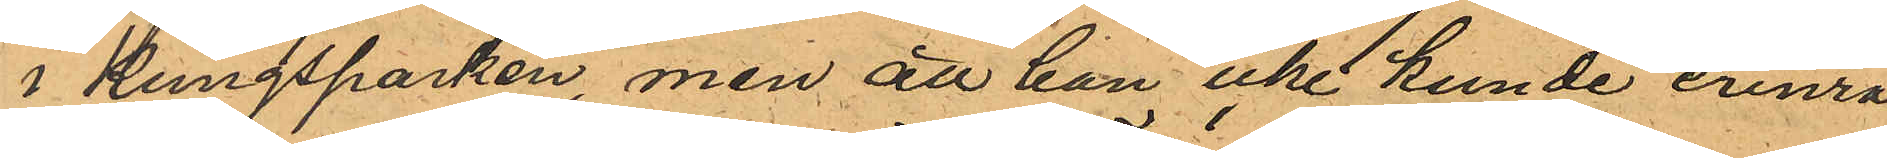i Kungsparken, men att han icke kunde erinra
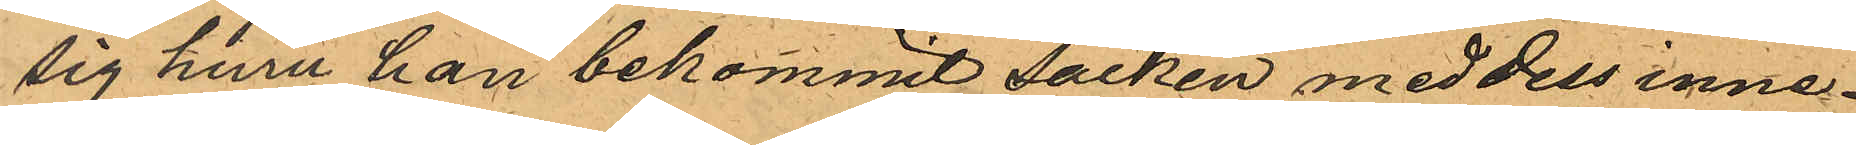sig hinu han bekommit säcken med dels inne¬
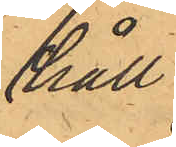håll.
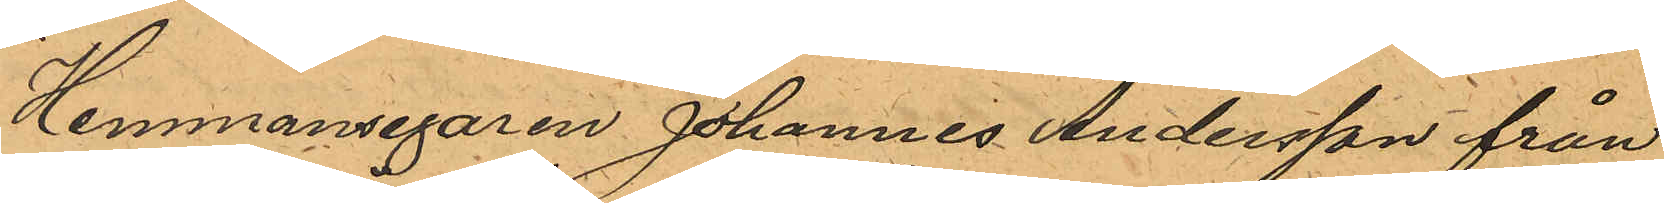Hemmansegaren Johannes Andersson från
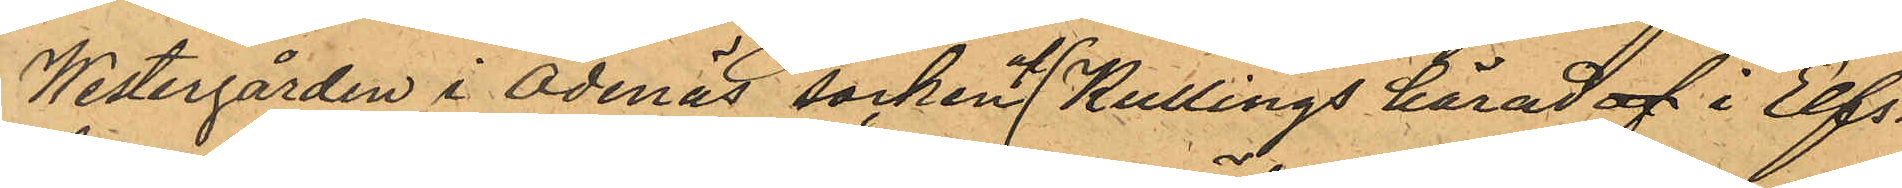Westergården i Ödenäs socken af Kullings härad af i Elfs¬
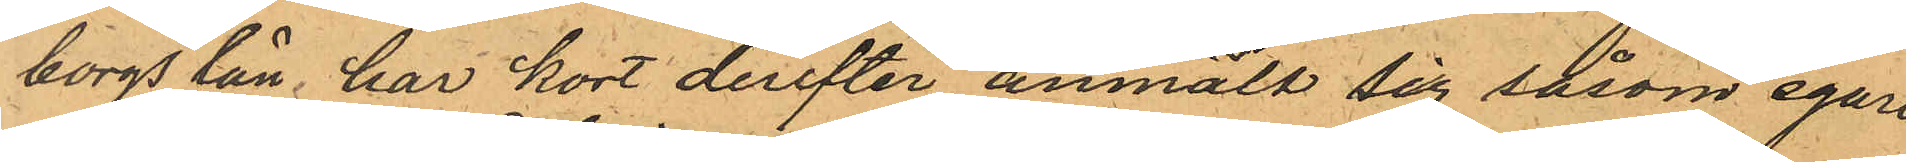borgs län har kort derefter anmält sig såsom egare
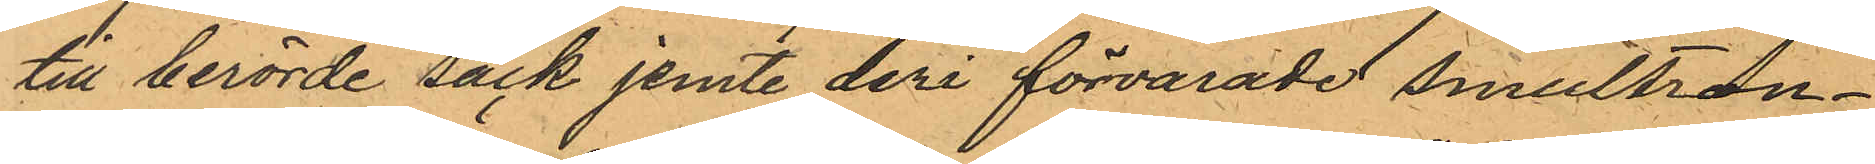till berörde säck jemte deri förvarade smultron¬
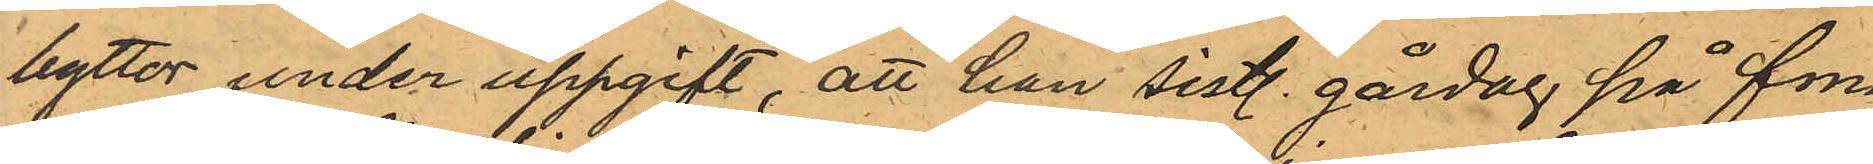byttor under uppgift, att han sistl. gårdag på fm.
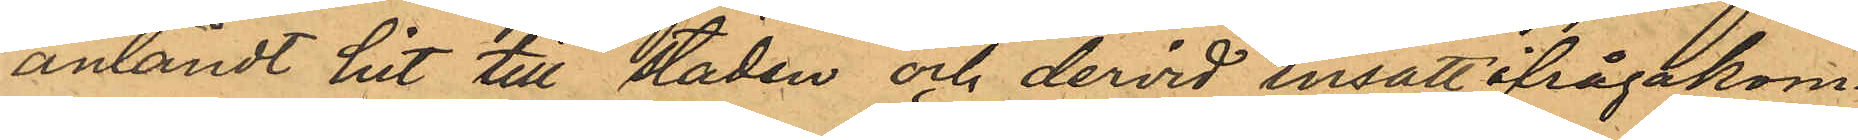anländt hit till staden och dervid insatt ifrågakom¬
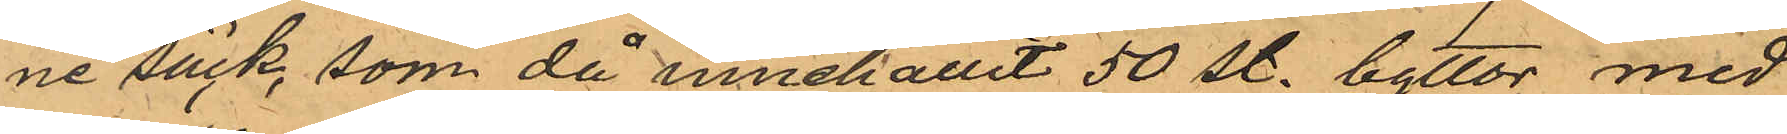ne säck, som då innehållit 50 st. byttor med
